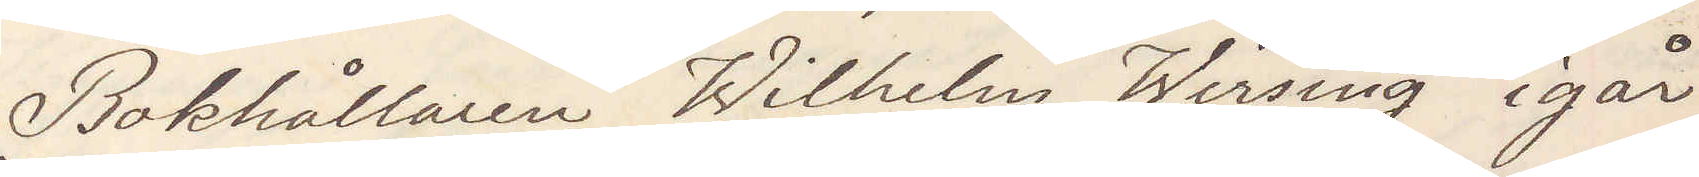Bokhållaren Wilhelm Wirsing igår
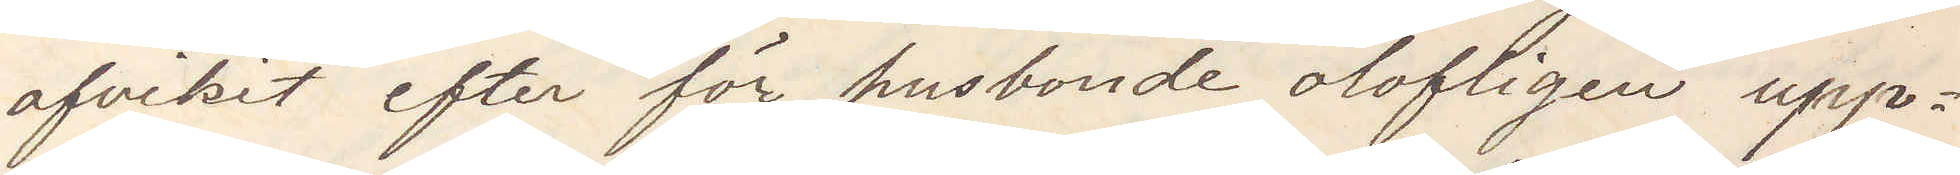afvikit efter för husbonde olofligen upp¬
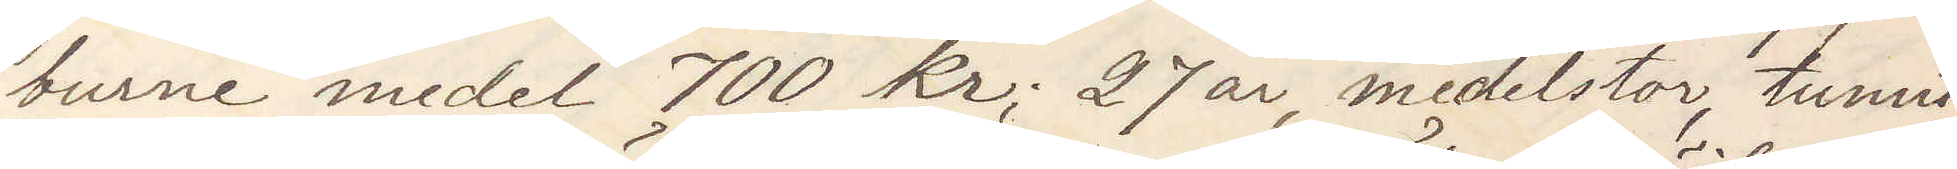burne medel 700 kr; 27 år, medelstor, tunnt
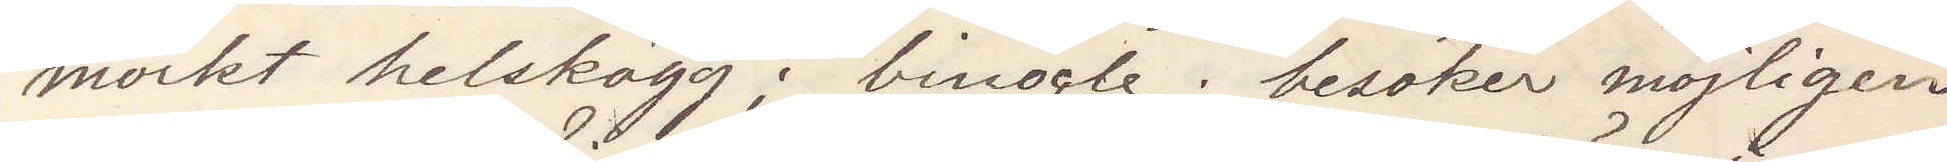mörkt helskägg; binocle; besöker möjligen
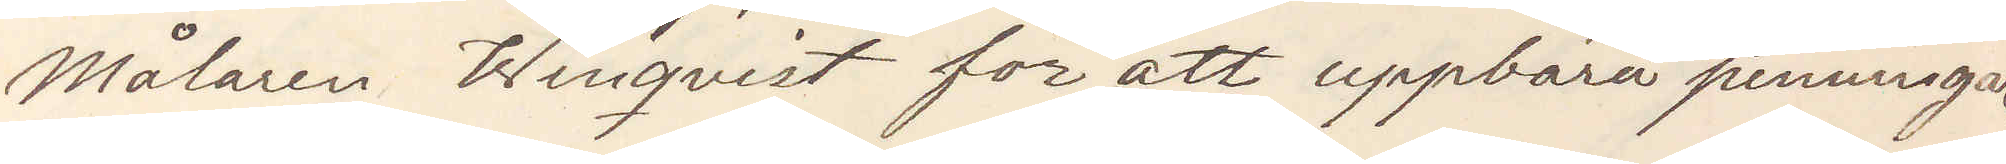Målaren Winqvist för att uppbära penningar.
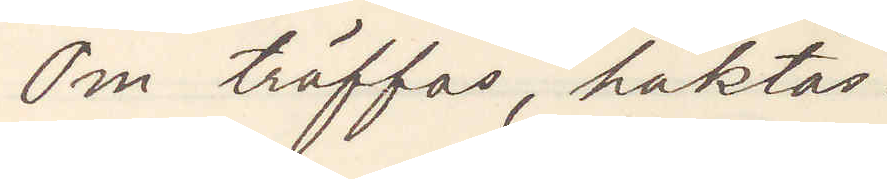Om träffas, häktas.
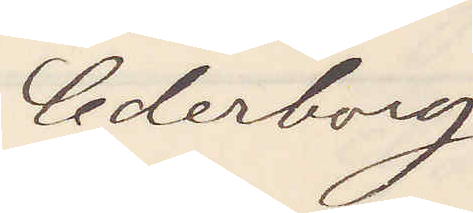Cederborg
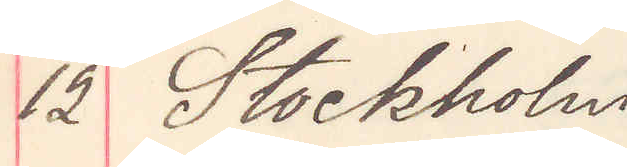12 Stockholm
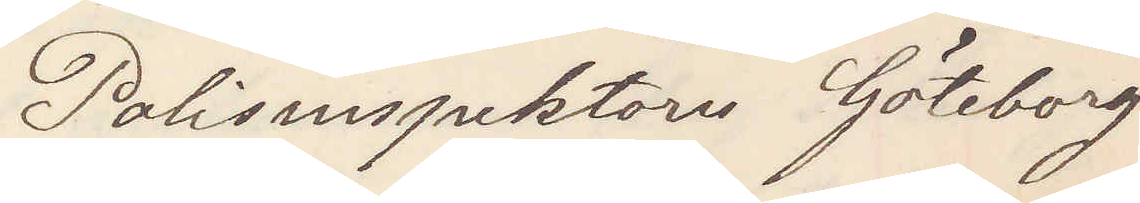Polisinspektorn Göteborg
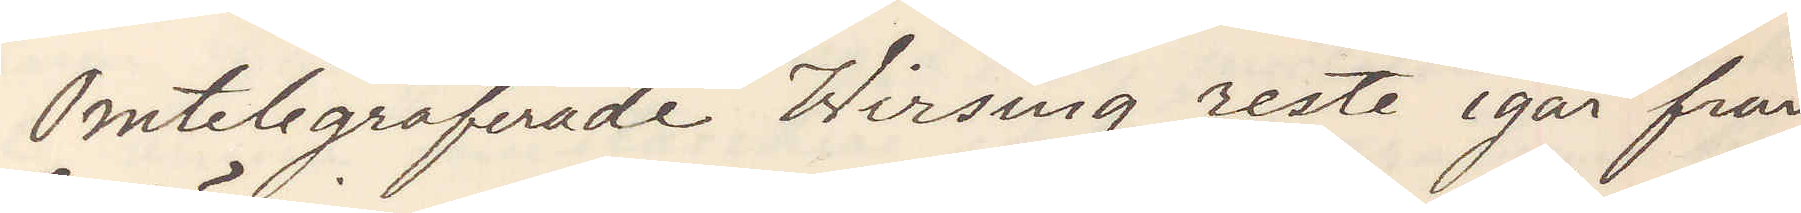Omtelegraferade Wirsing reste igår från
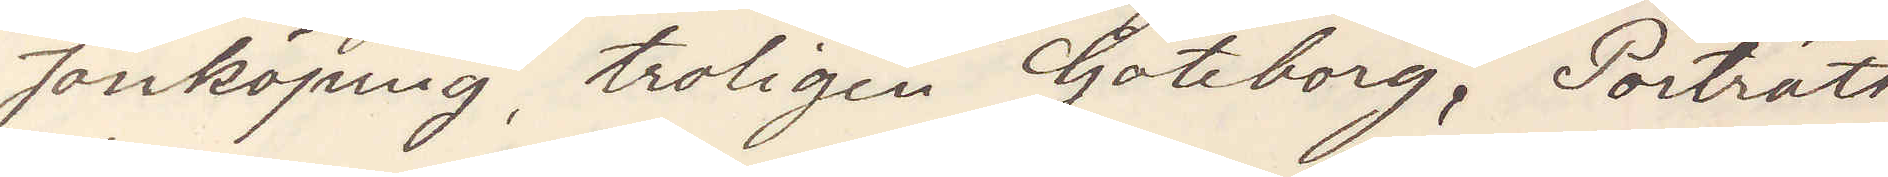Jönköping, troligen Göteborg, Porträtt
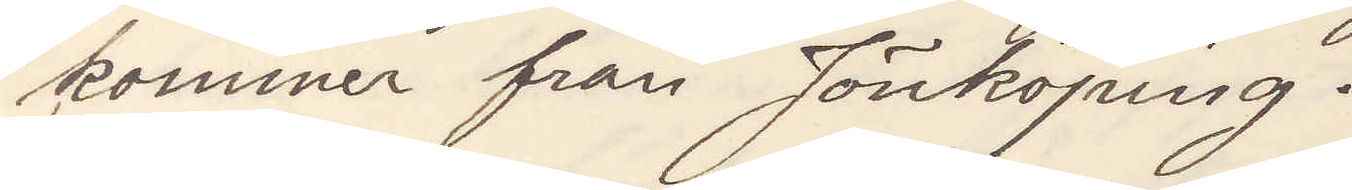kommer från Jönköping.
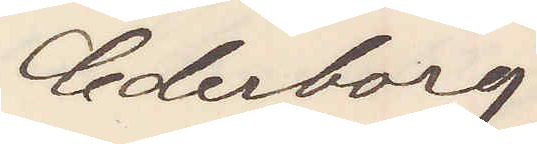Cederborg
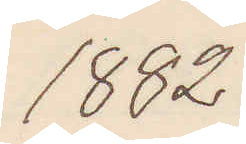1882
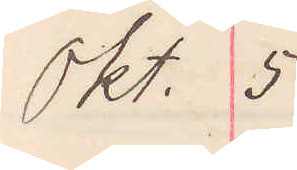Okt. 5
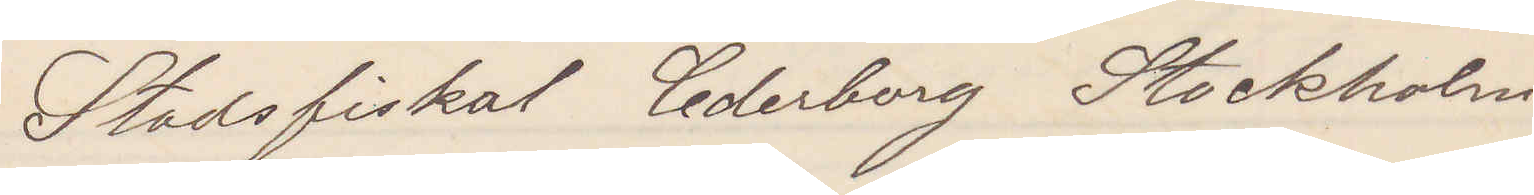Stadsfiskal Cederborg Stockholm
